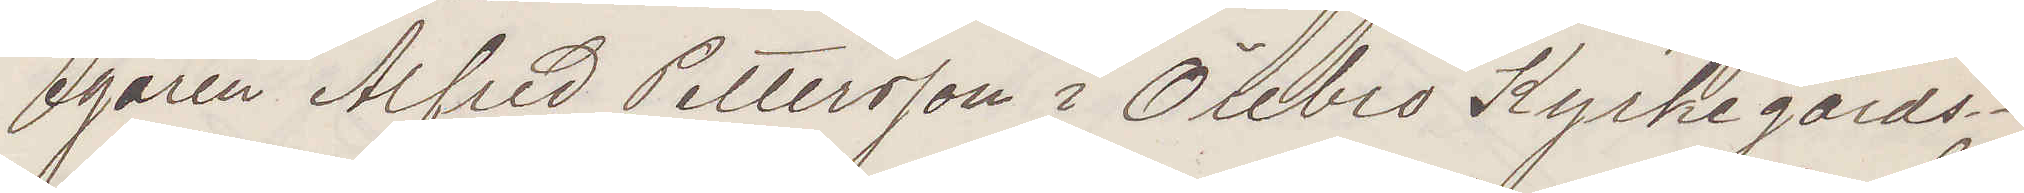egaren Alfred Pettersson i Örebro Kyrkegårds¬
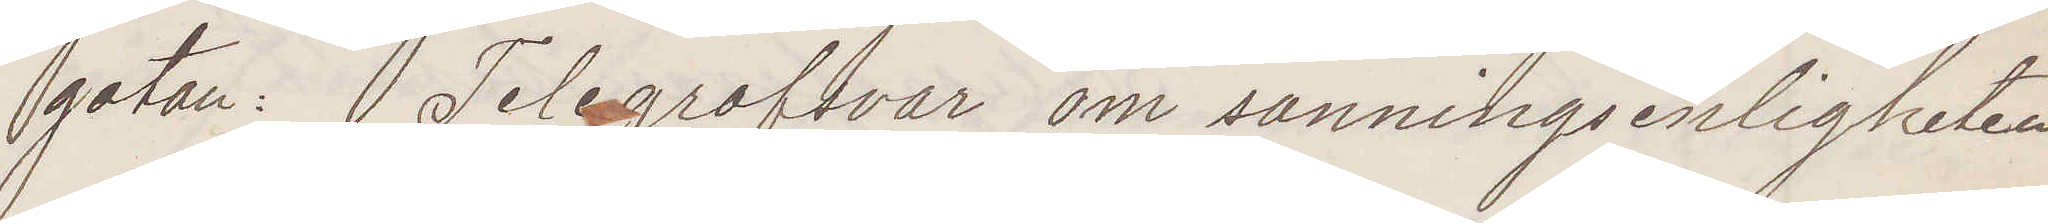gatan: Telegrafsvar om sanningsenligheten
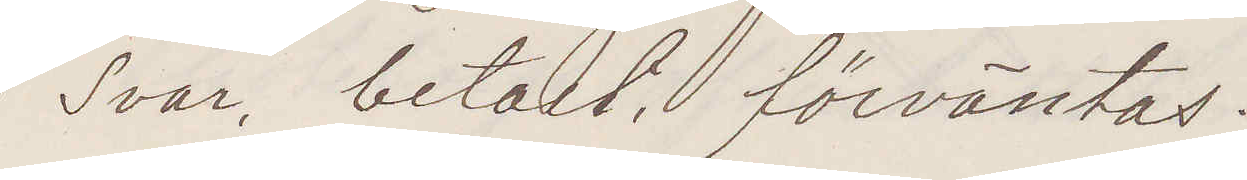Svar betalt förväntas:
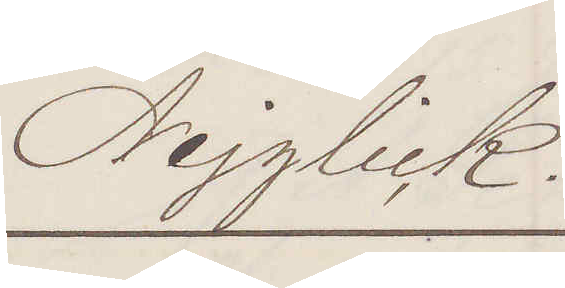Nejglick.
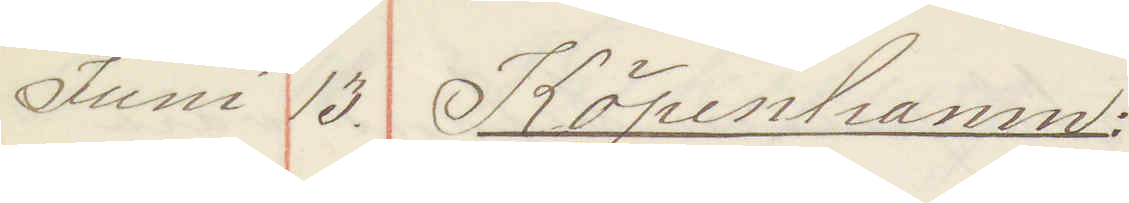Juni 13. Köpenhamn
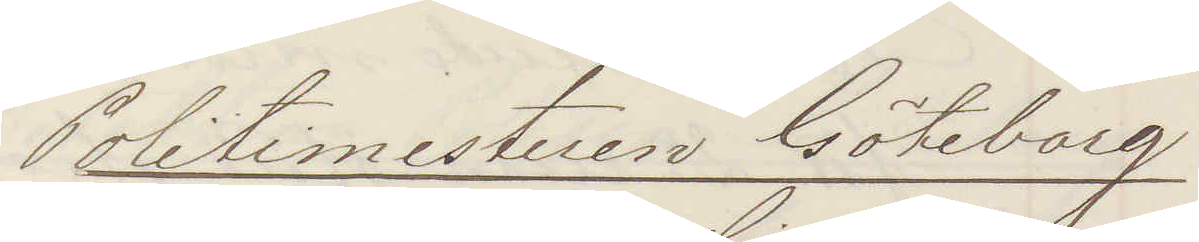Politimesteren Göteborg
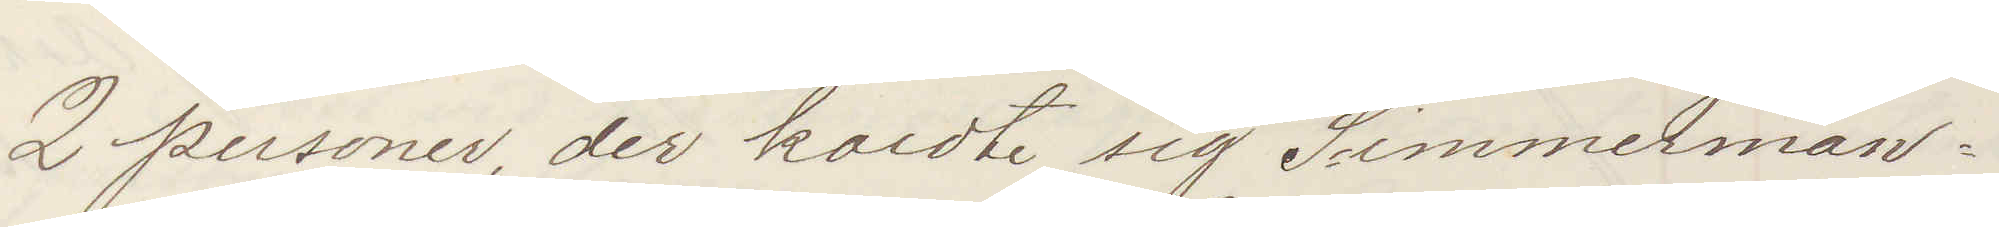2 personer, der kaldte sig Simmerman
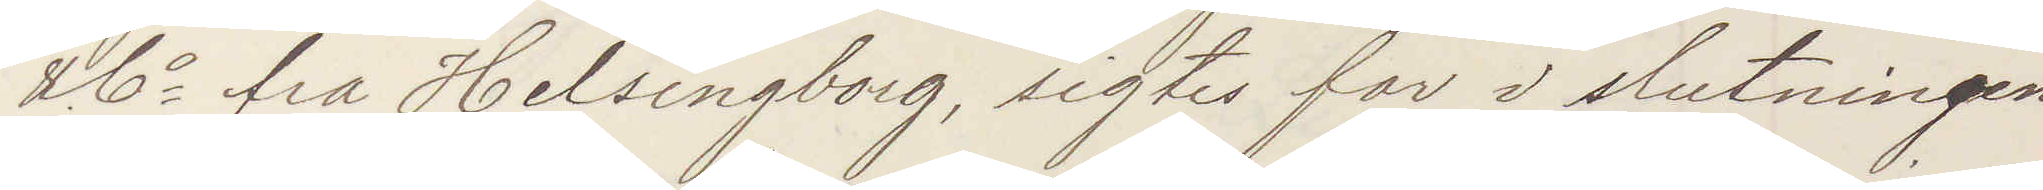& Co fra Helsingborg, sigtes for i slutningen
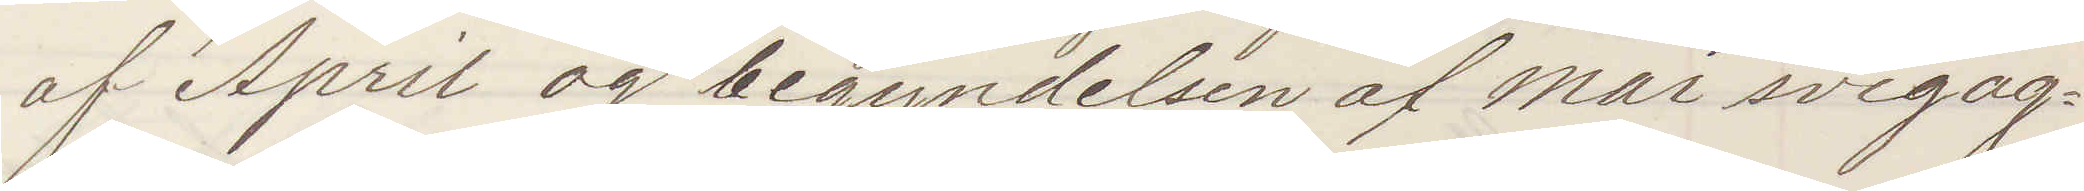af April og begyndelsen af Mai svigag¬
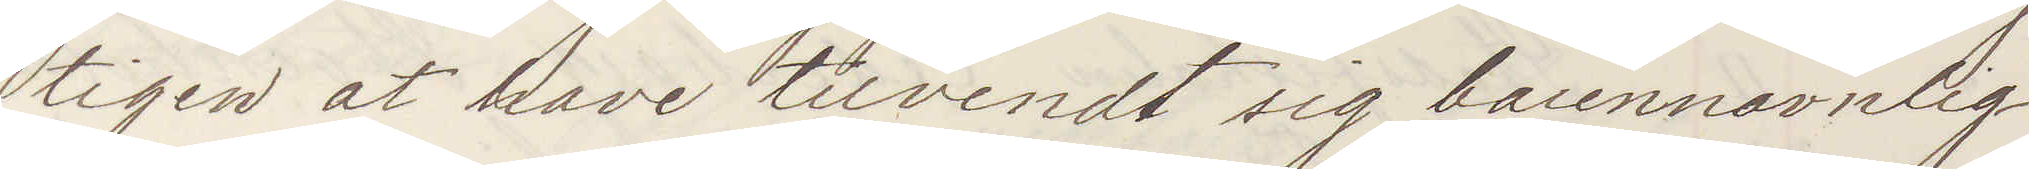tigen at have tilvendt sig barennavnlig
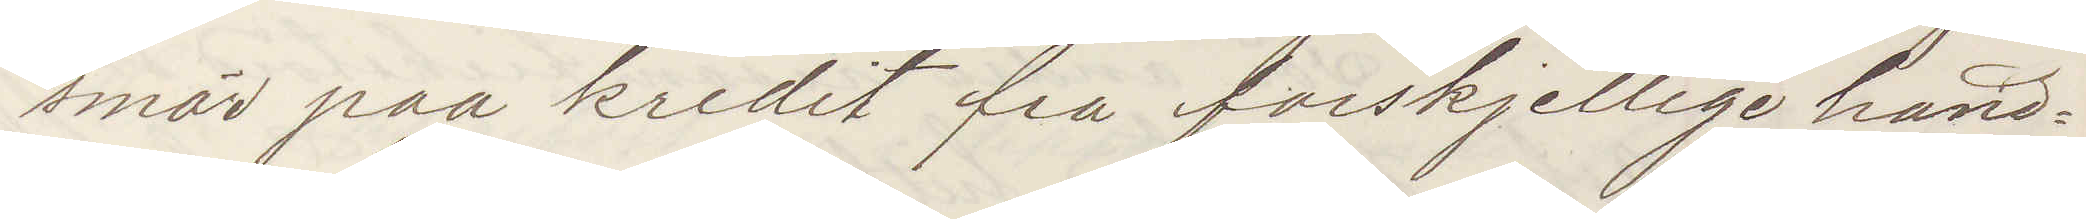smör paa kredit fra forskjellige hand¬
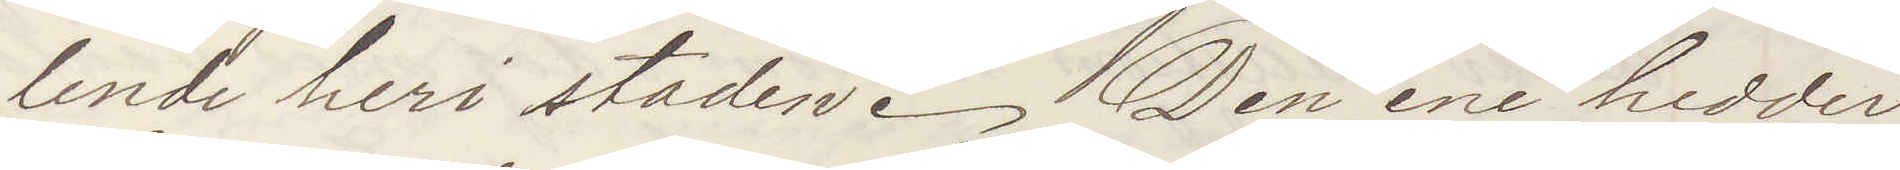lende heri staden. Den ene hedder
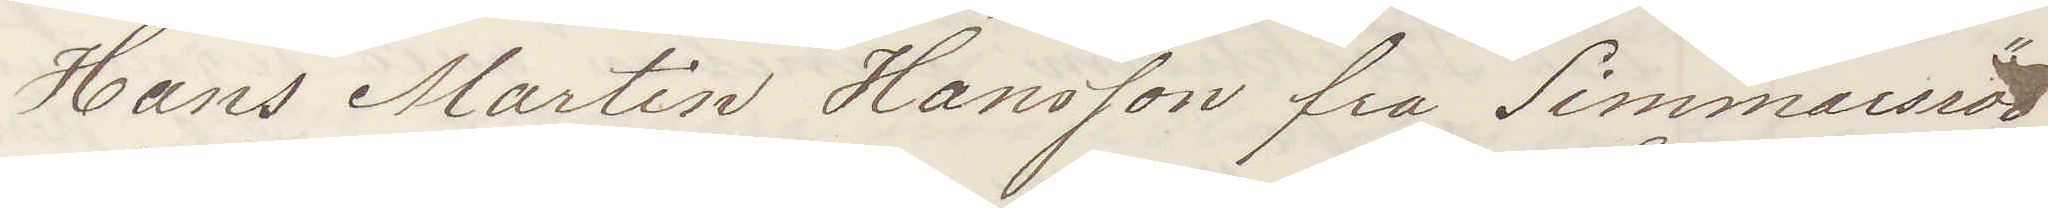Hans Martin Hansson fra Simmarsröd
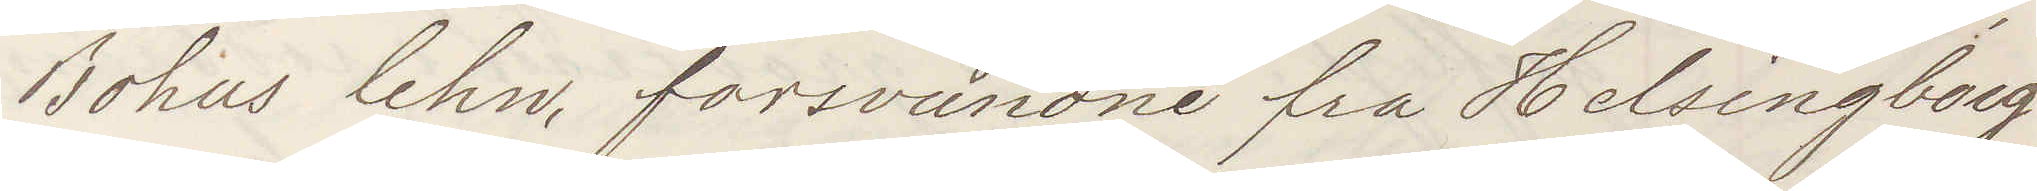Bohus lehn forsvundne fra Helsingborg
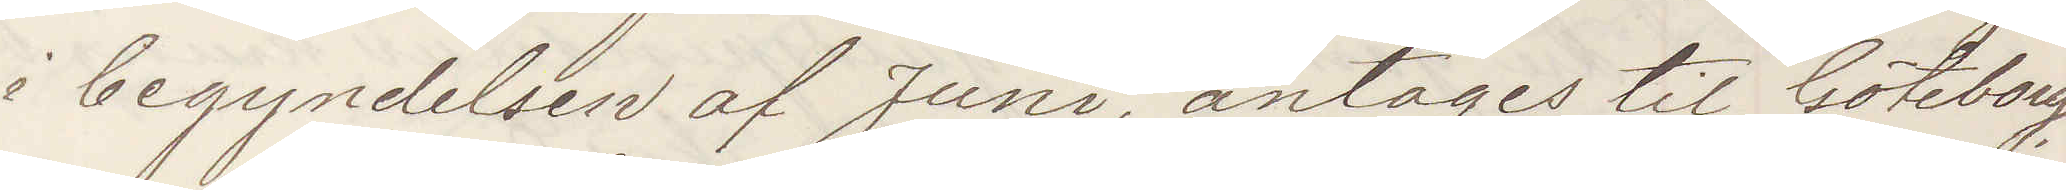i begyndelsen af Juni antages til Göteborg
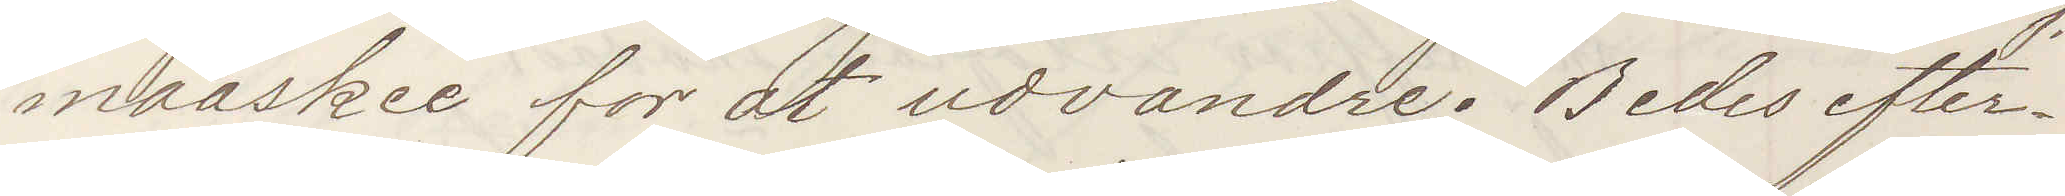maaske for at udvandre Bedes efter¬
